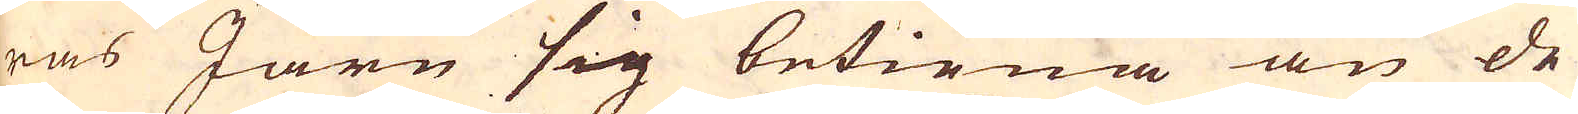ras Järn sig betiena än de
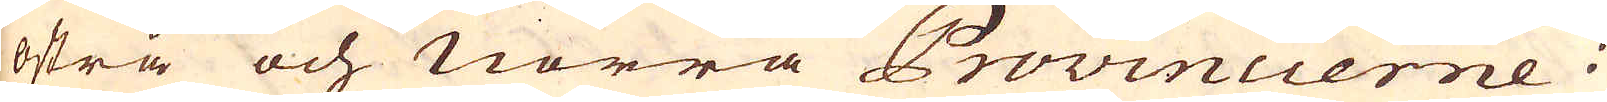östra och norra Provincierne i
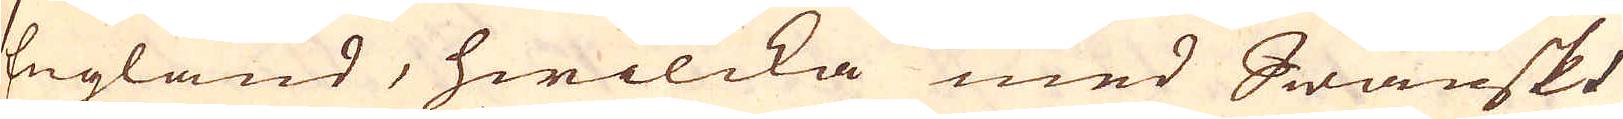England, hwilcka med Swänskt
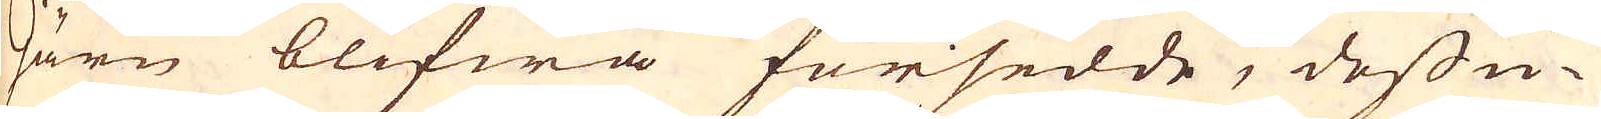Järn blifwa försedde, dessu-
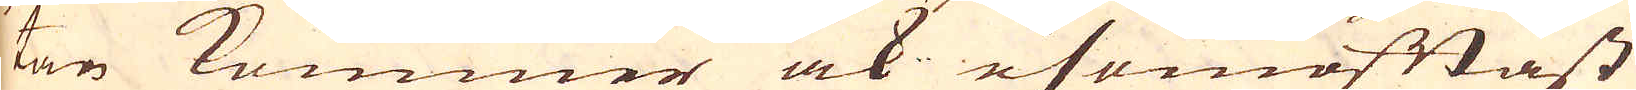tan kommer ock esomoftast
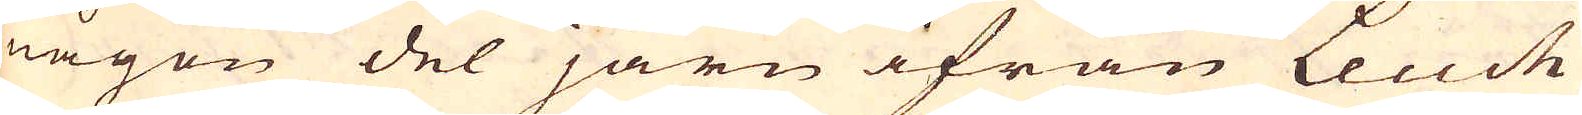någon del järn ifrån Leuck
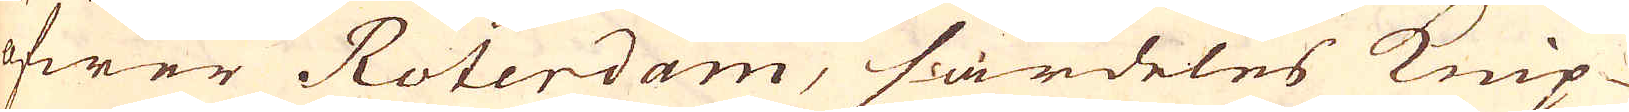öfwer Roterdam, särdeles Knip-
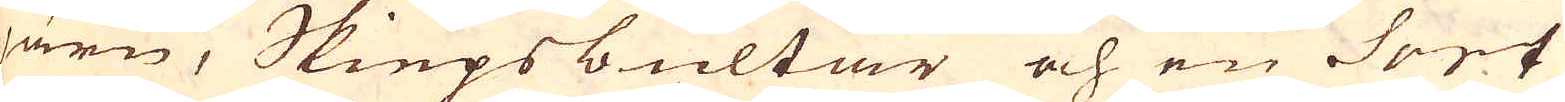järn, Skiepsbultar och en Sort
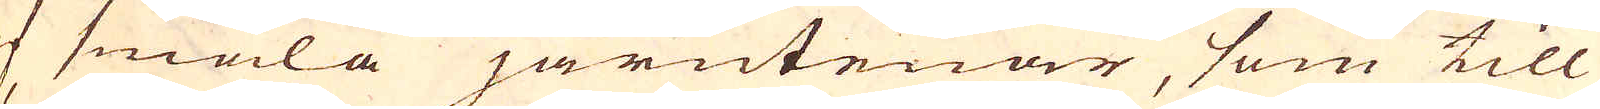af smala järntenar, som till
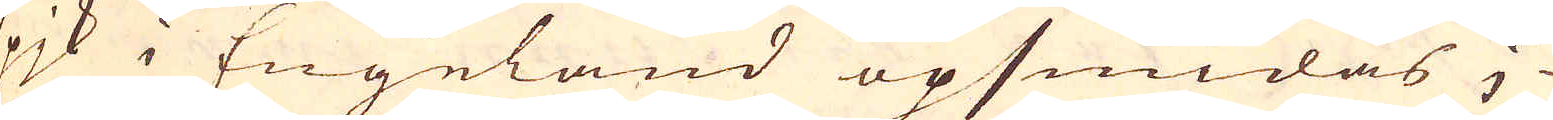spjk i Engeland opsmidas;
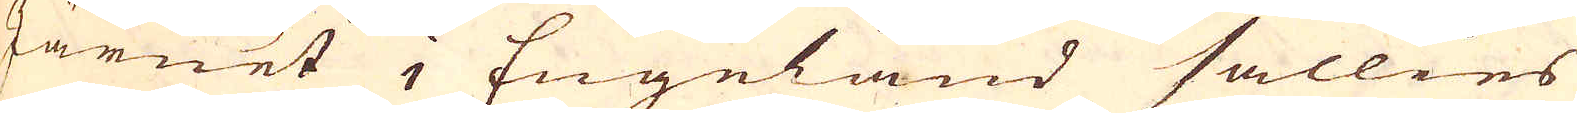Järnet i Engeland sällies
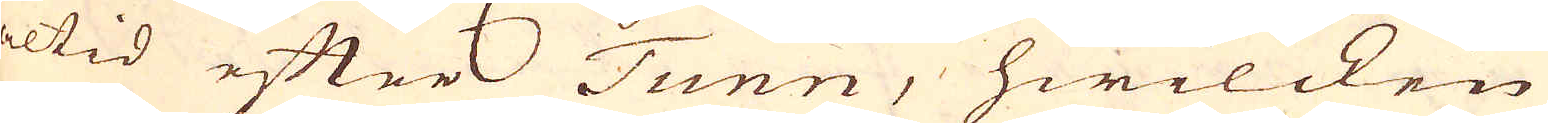altid efter Tunn, hwilcken
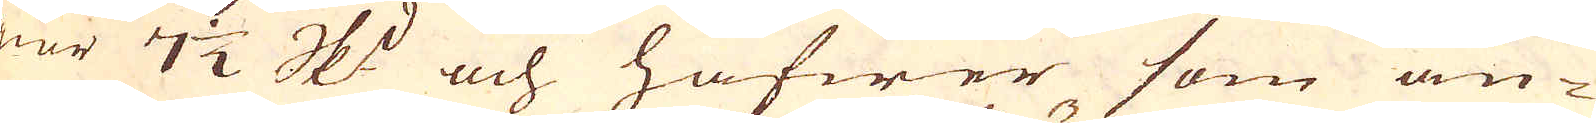giör 7 1/2 skeppund och hafwer som an-
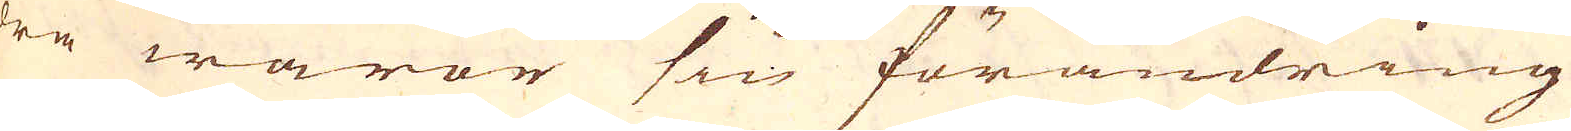dra waror sin förändring
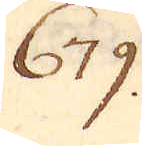679.
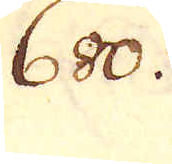680.
